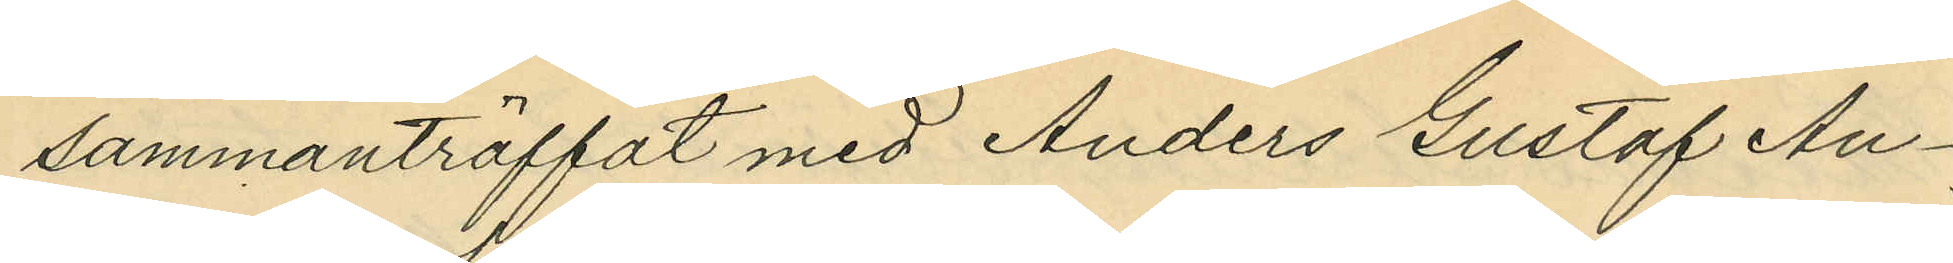sammanträffat med Anders Gustaf An¬
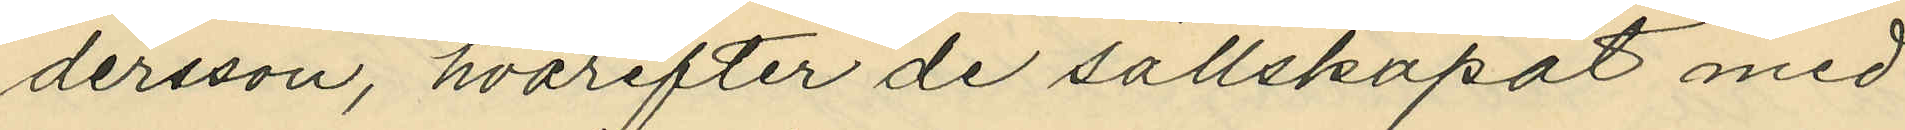dersson, hvarefter de sällskapat med
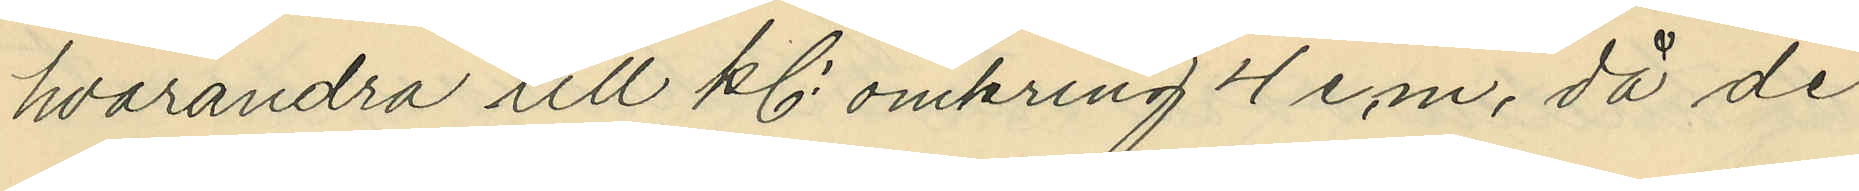hvarandra till kl. omkring 4 e.m. då de
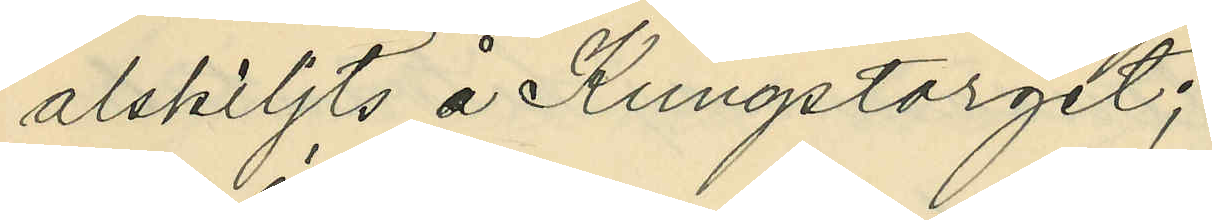alskiljts å Kungstorget;
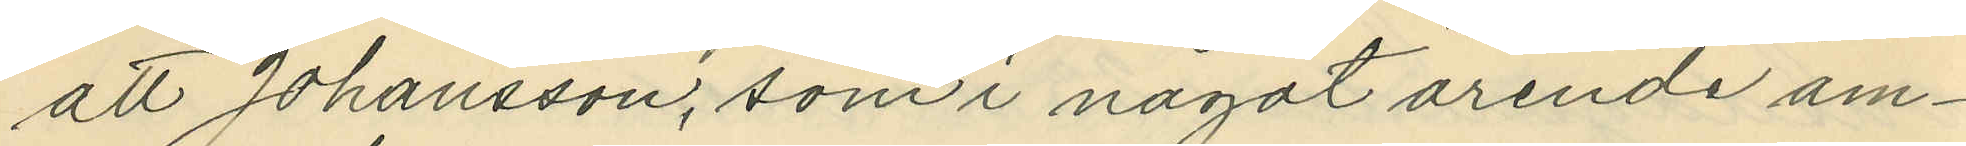att Johansson, som i något ärende äm¬
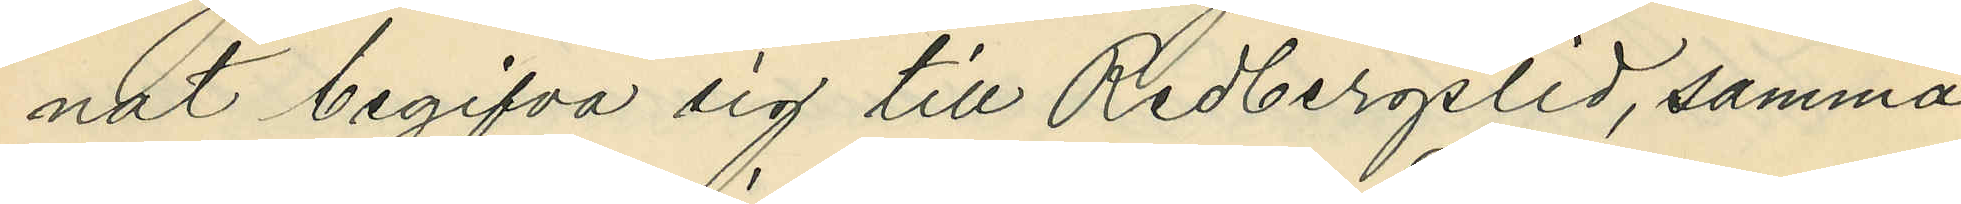nat begifva sig till Redbergslid, samma
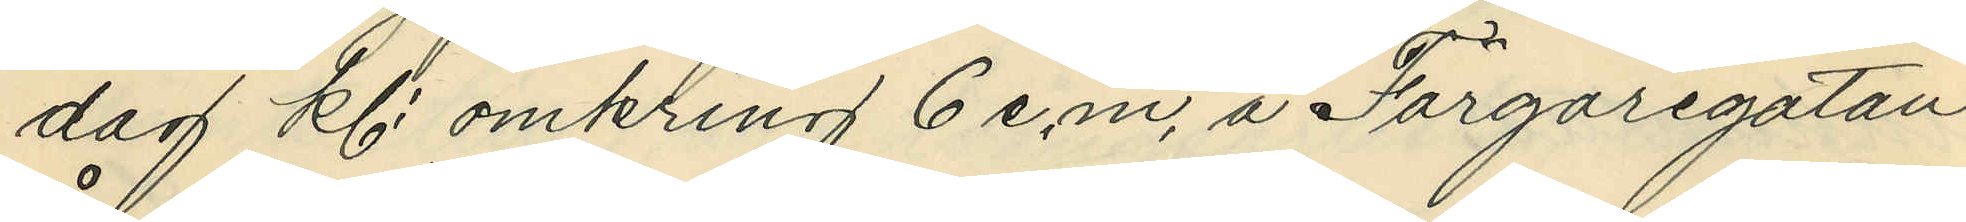dag kl. omkring 6 e.m. å Färgaregatan
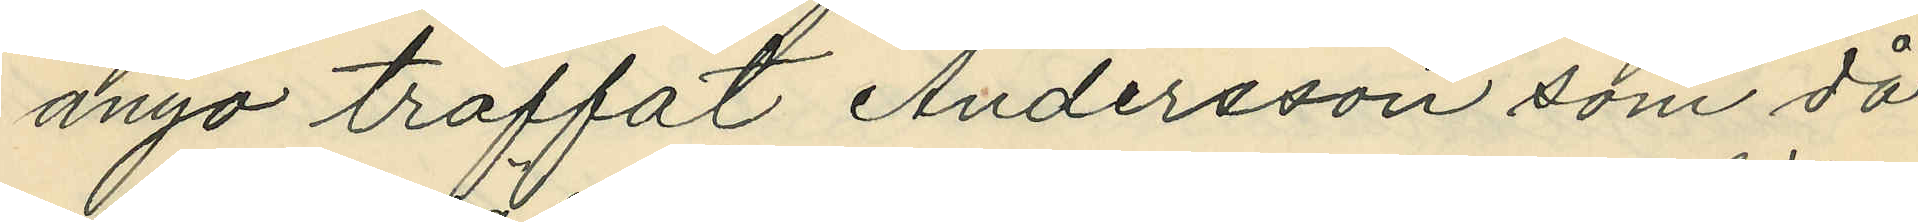ånyo träffat Andersson som då
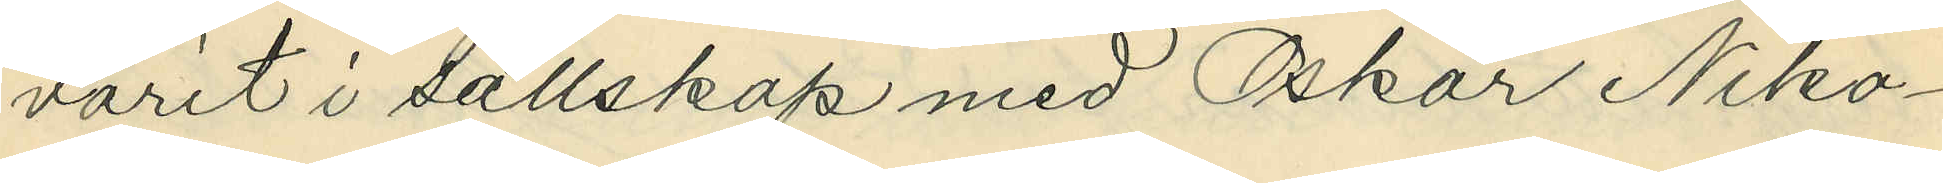varit i sällskap med Oskar Niko¬
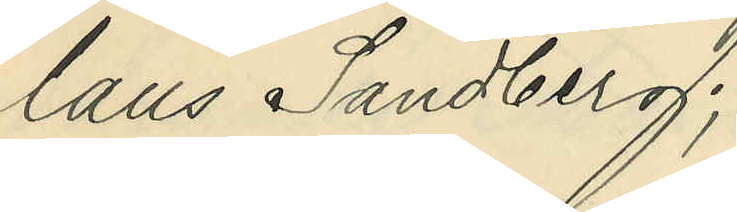laus Sandberg;
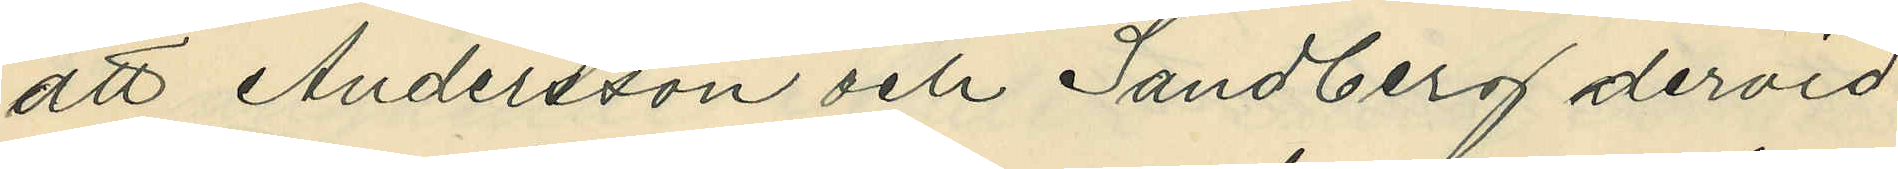att Andersson och Sandberg dervid
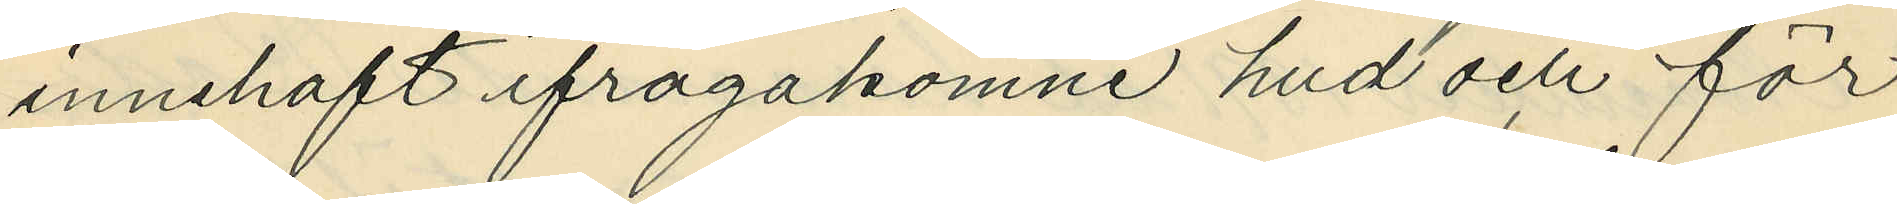innehaft ifrågakomne hud och för
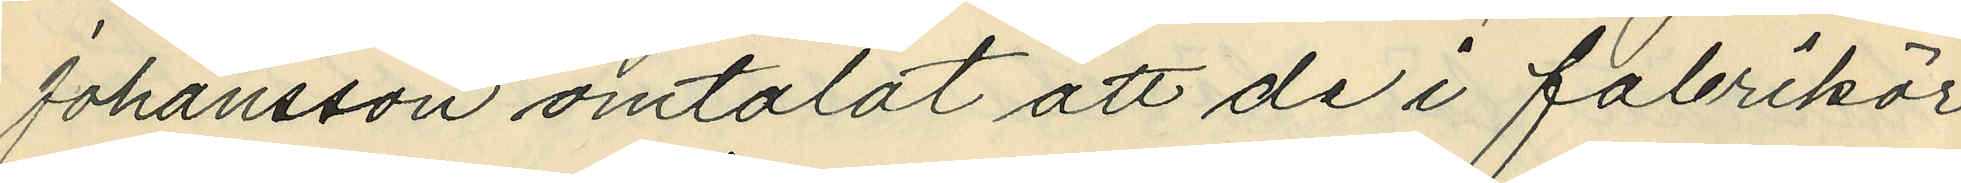Johansson omtalat att de i fabrikör
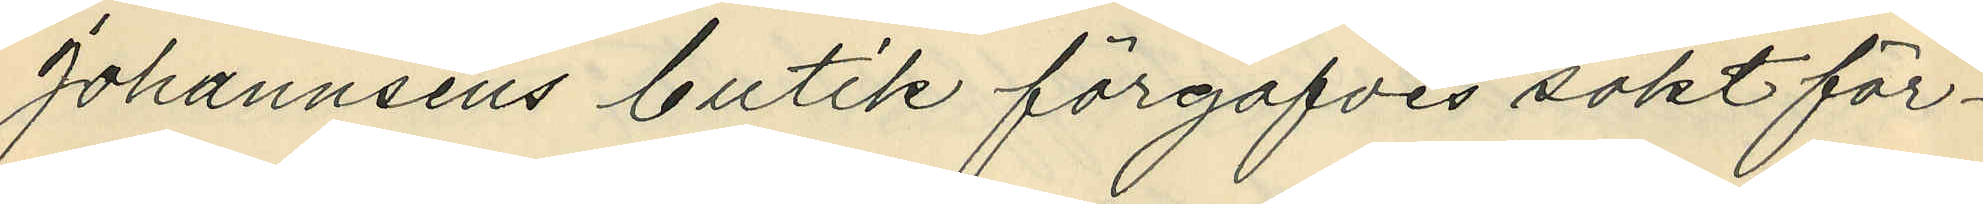Johannsens butik förgäfves sökt för¬
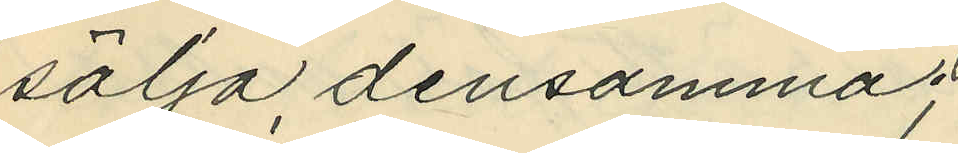sälja densamma;
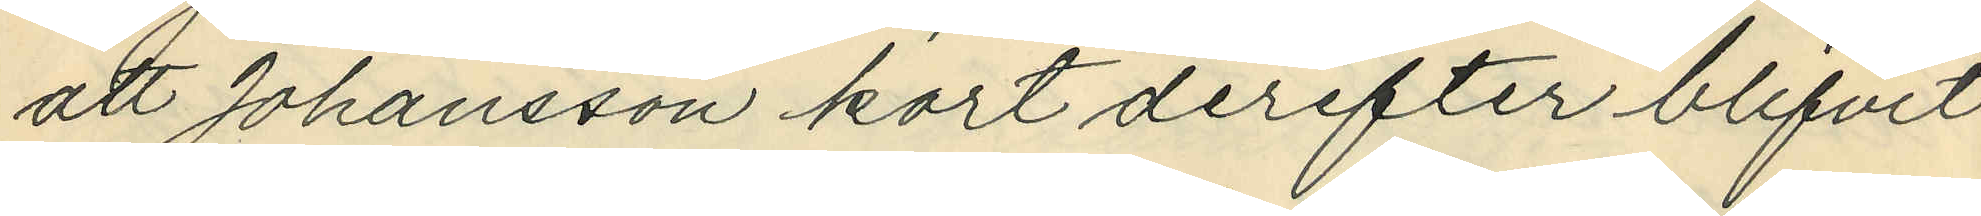att Johansson kort derefter blifvit
